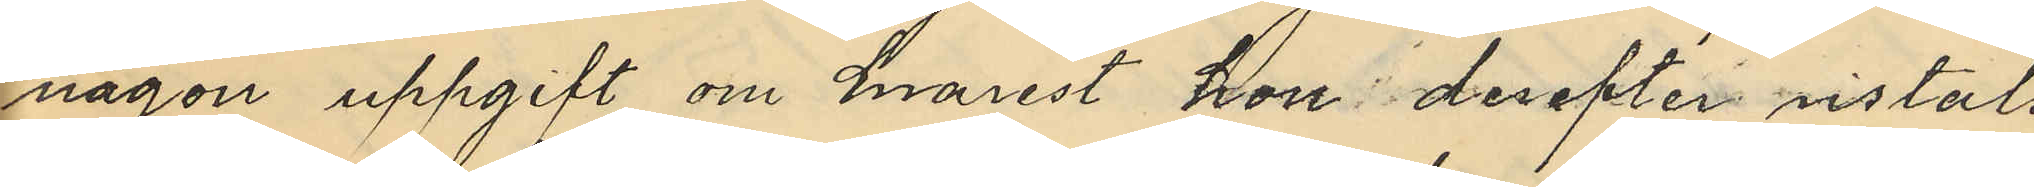någon uppgift om hvarest hon derefter vistats
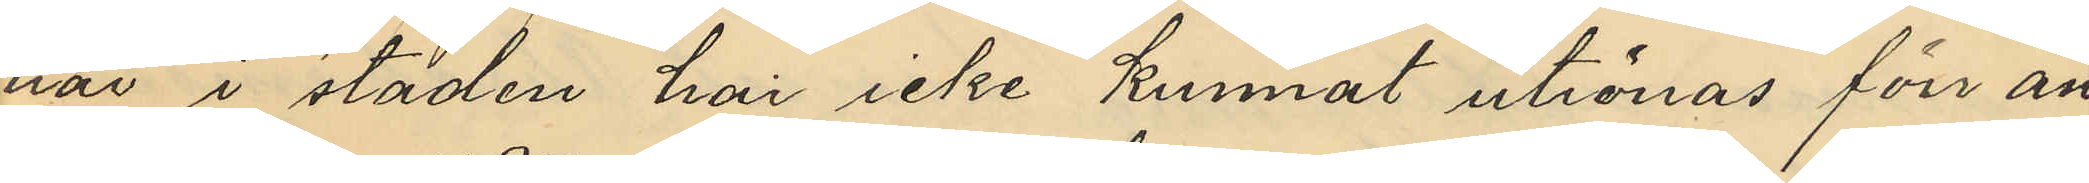här i staden har icke kunnat utrönas förr än
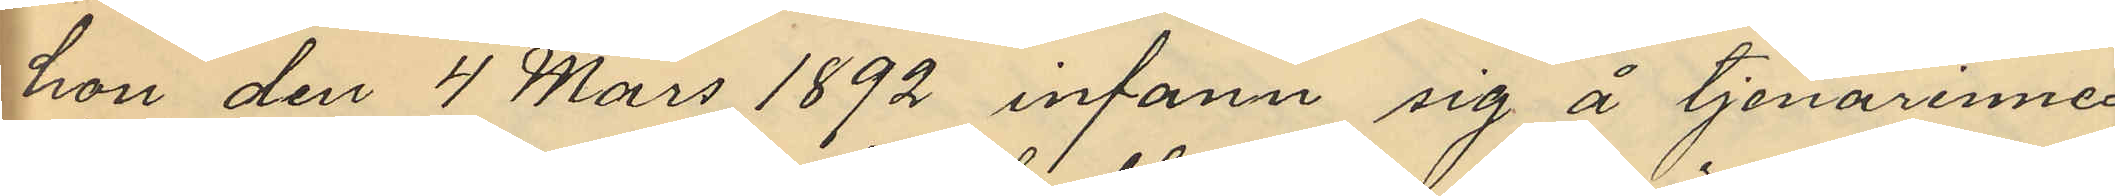hon den 4 Mars 1892 infann sig å tjenarinne¬
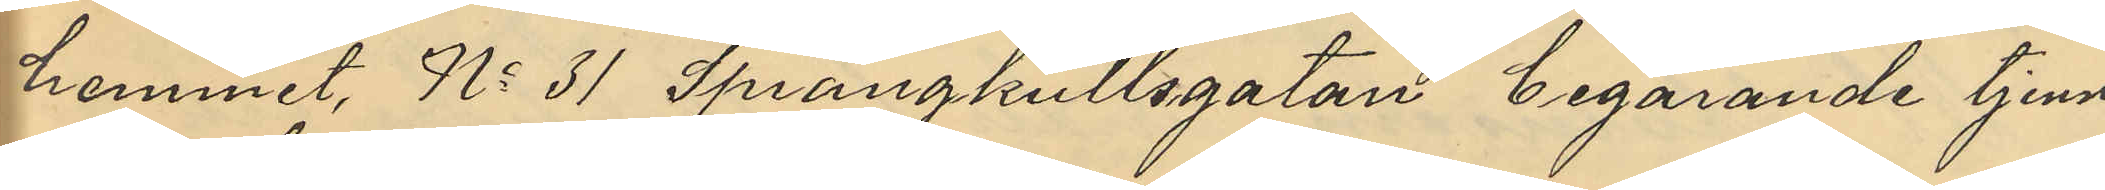hemmet No 31 Sprängkullegatan begärande tjenst
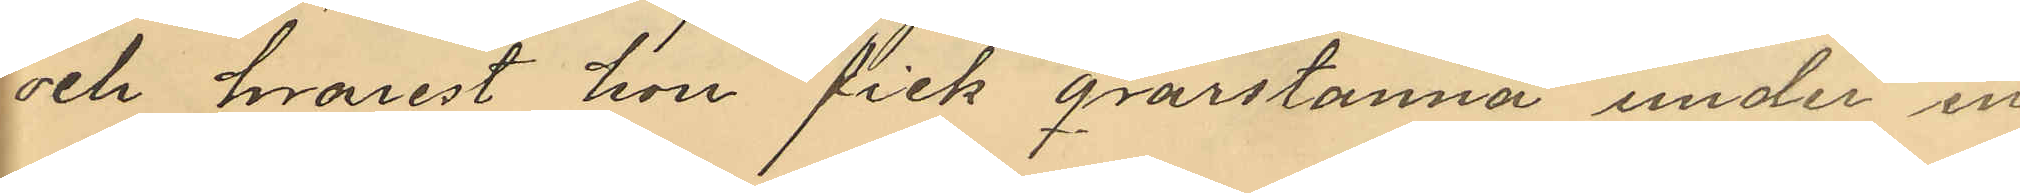och hvarest hon fick qvarstanna under en
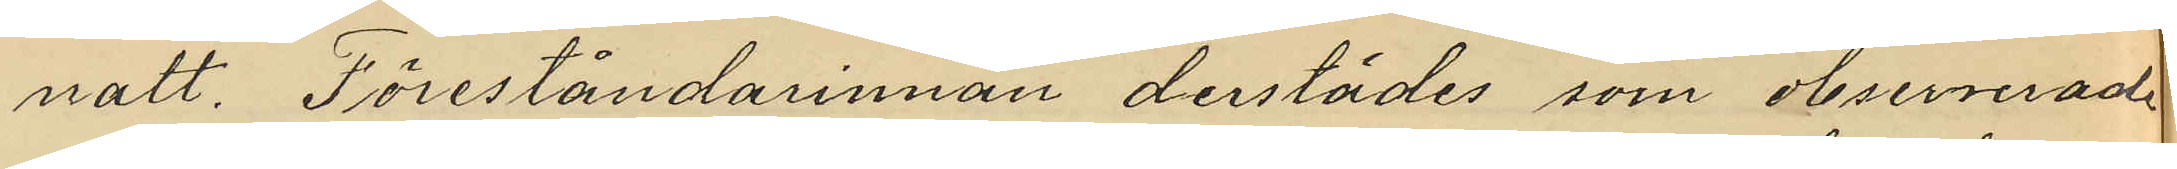natt. Föreståndarinnan derstädes som observerat
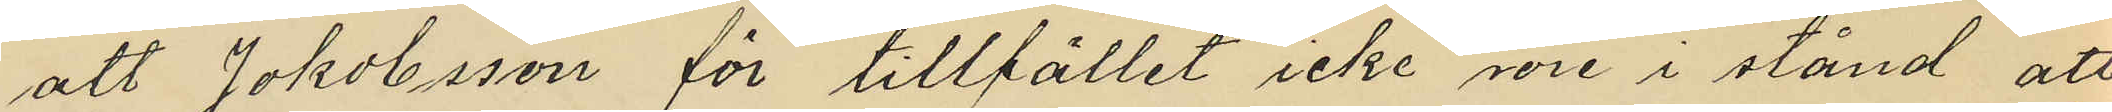att Jakobsson för tillfället icke vore i stånd att
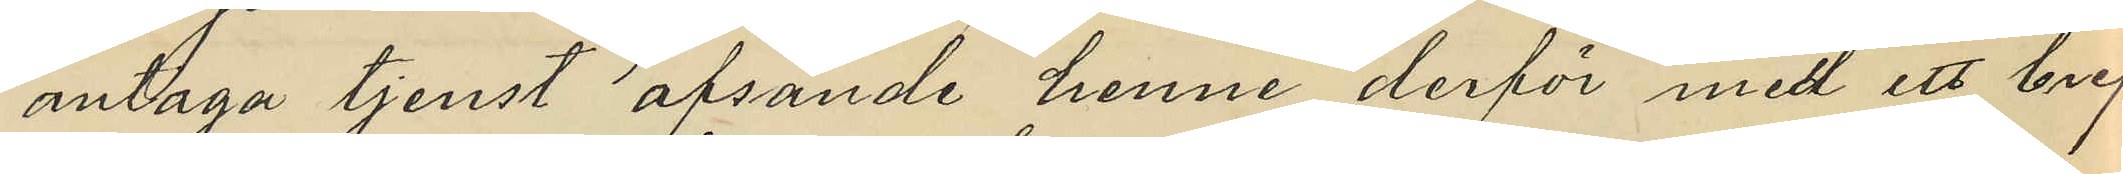antaga tjenst afsände henne derför med ett bref
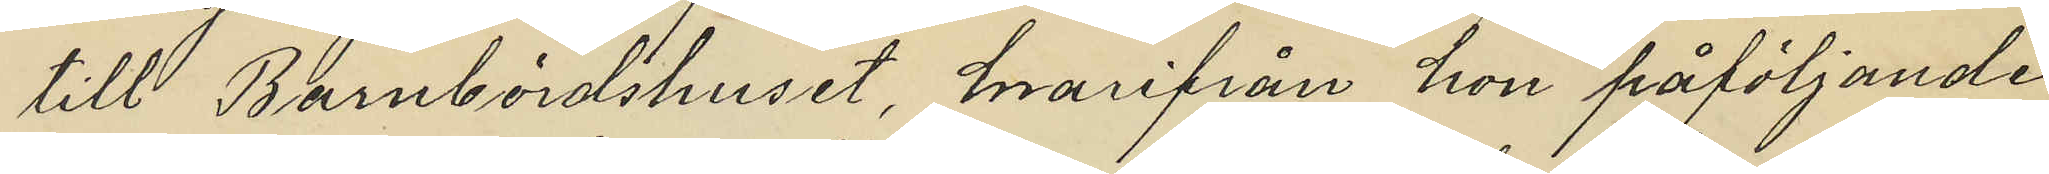till Barnbördshuset, hvarifrån hon påföljande
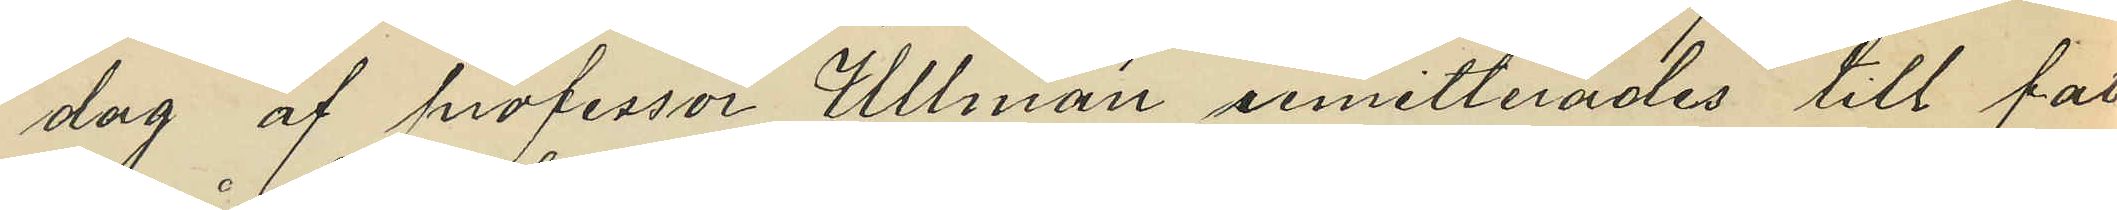dag af professor Ullman remitterades till fat¬
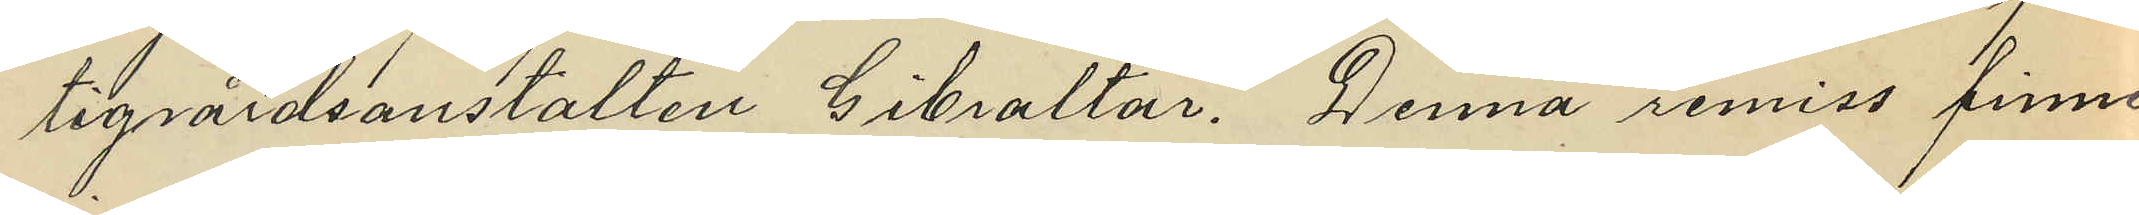tigvårdsanstalten Gibraltar. Denna remiss finnes
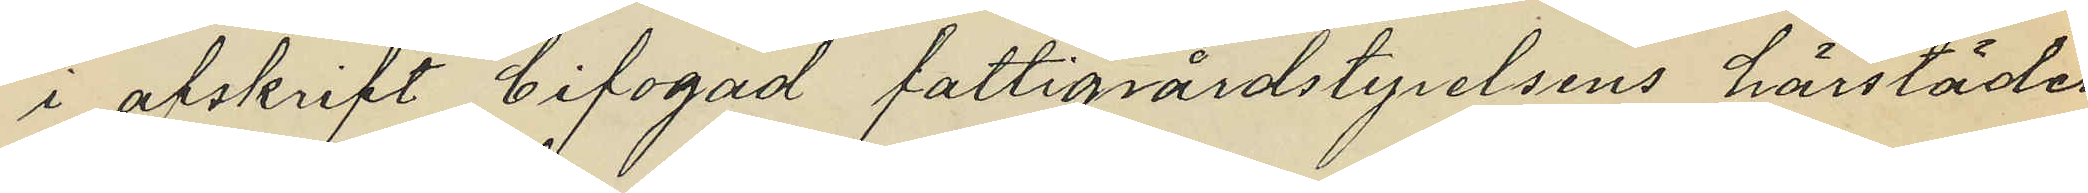i afskrift bifogad fattigvårdsstyrelsens härstädes
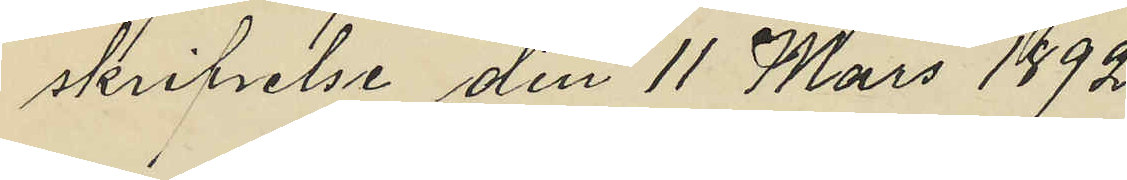skrifvelse den 11 Mars 1892.
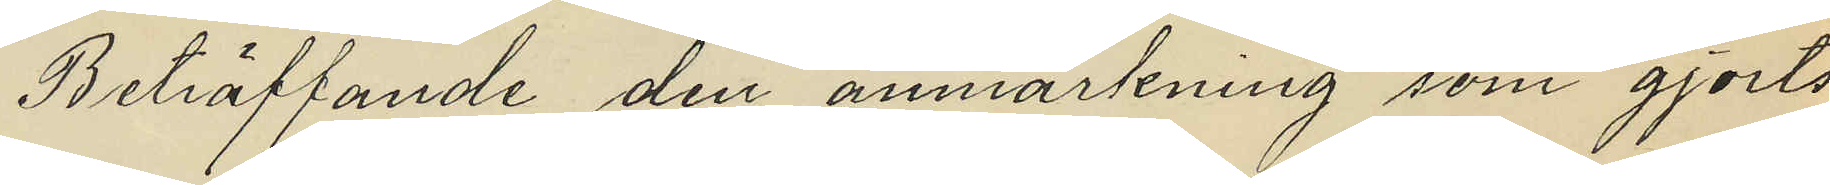Beträffande den anmärkning som gjorts
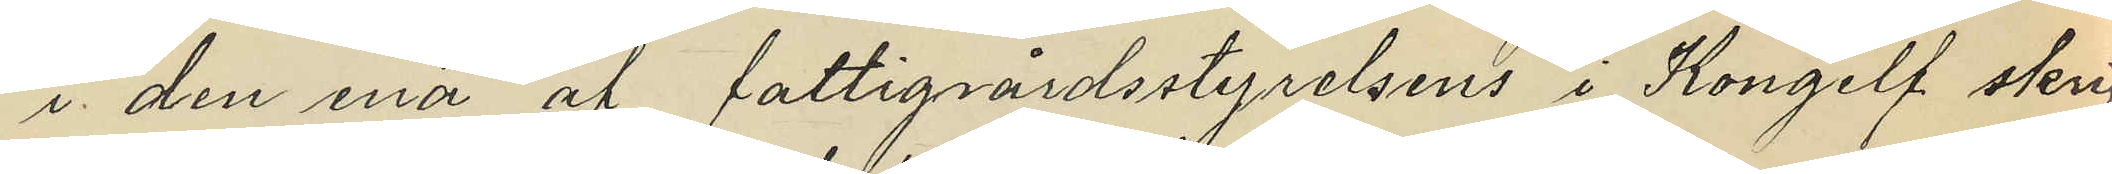i den ena af fattigvårdsstyrelsens i Kongelf skrif¬
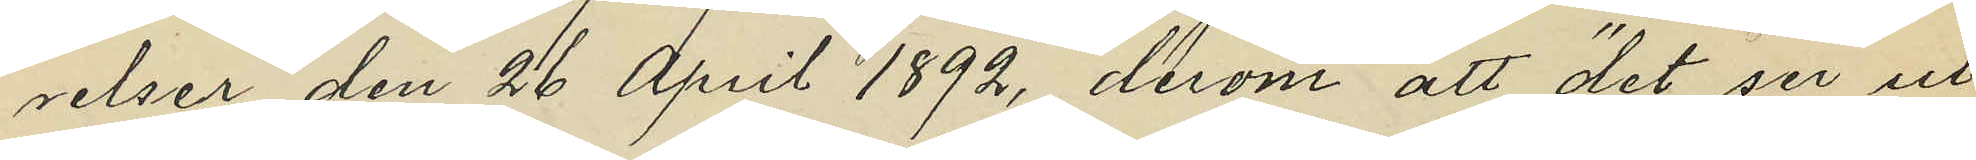velser den 26 April 1892, derom att "det ser ut
